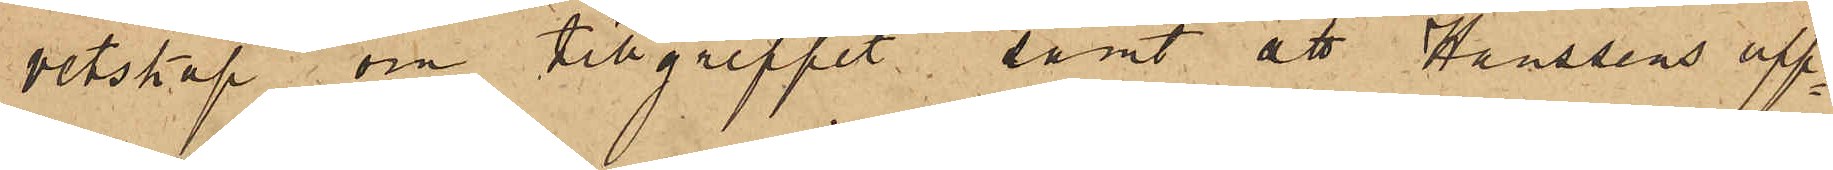vetskap om tillgreppet; samt att Hanssens upp¬
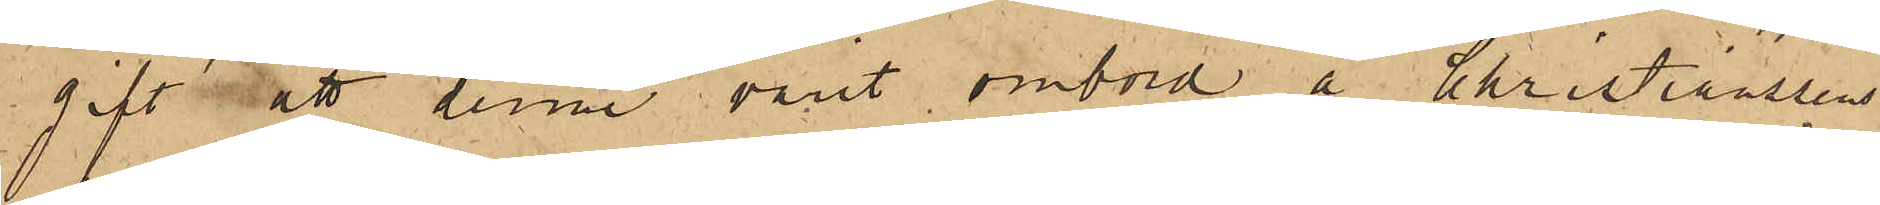gift att denne varit ombord å Christianssens
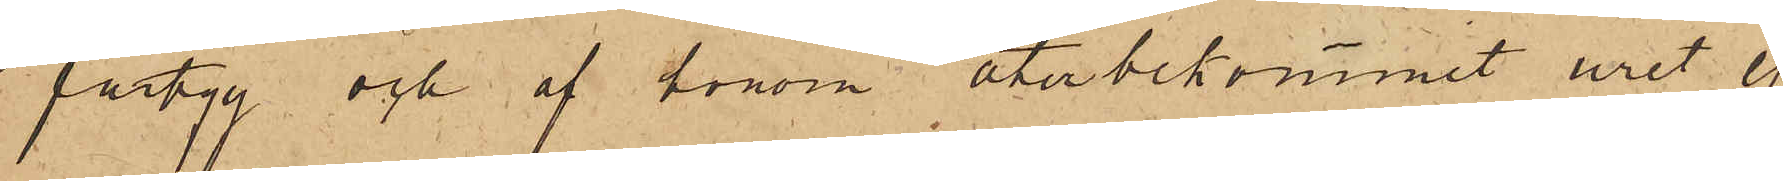fartyg och af honom återbekommit uret ej
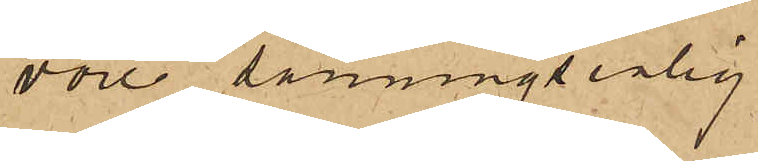vore sanningsenlig
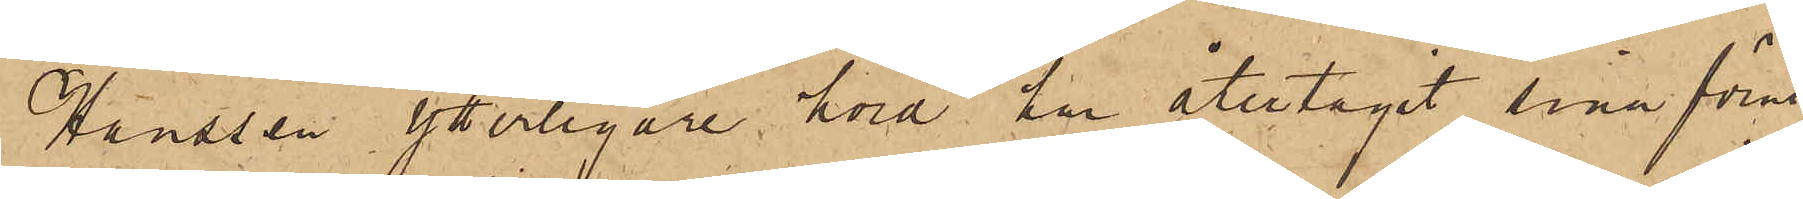Hanssen ytterligare hörd har återtagit sina förut
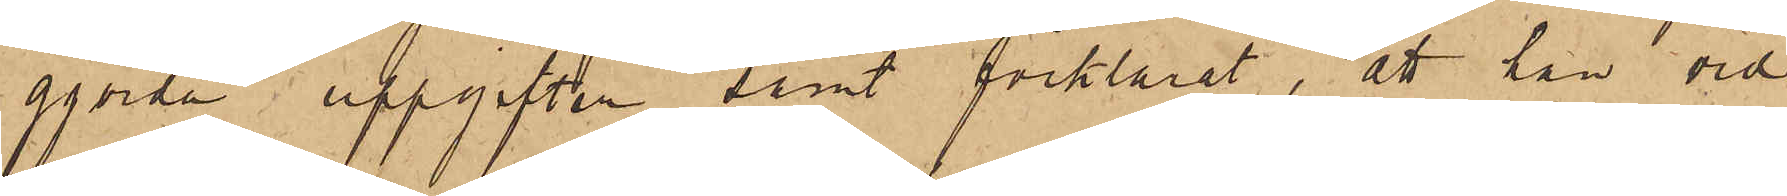gjorda uppgifter samt förklarat, att han vid
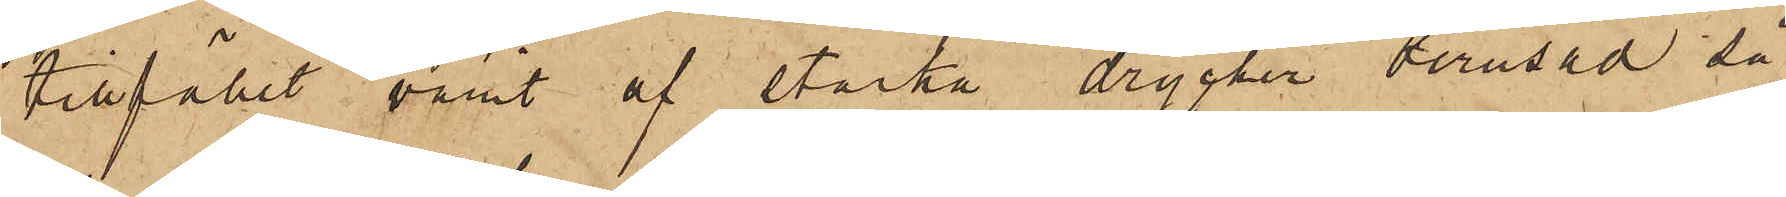tillfället varit af starka drycker berusad så
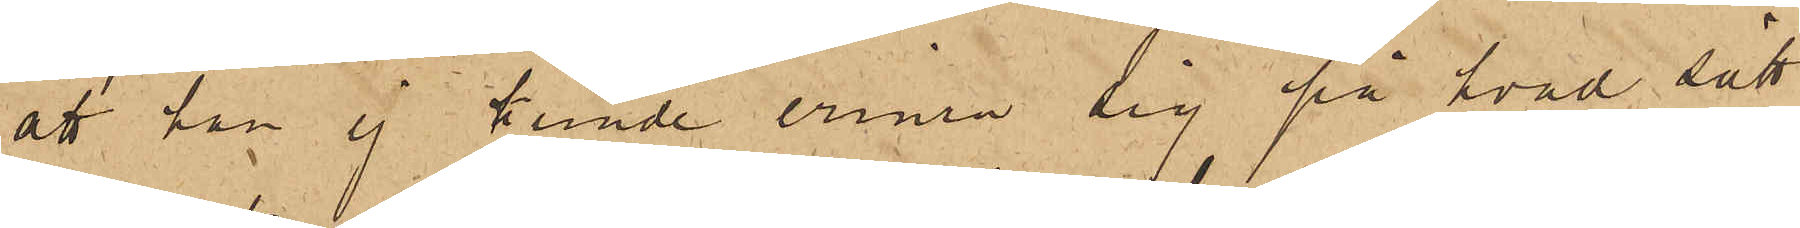att han ej kunde erinra sig på hvad sätt
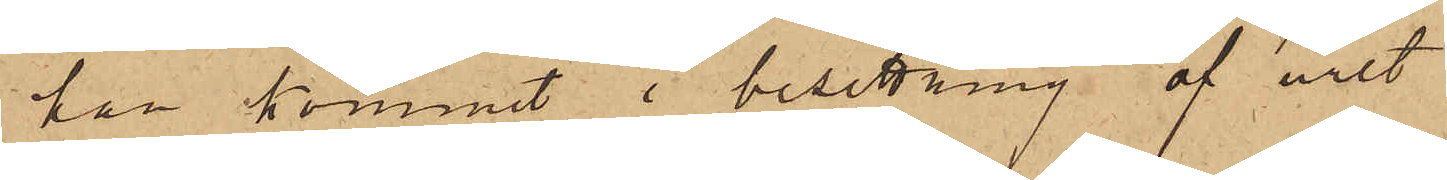han kommit i besittning af uret
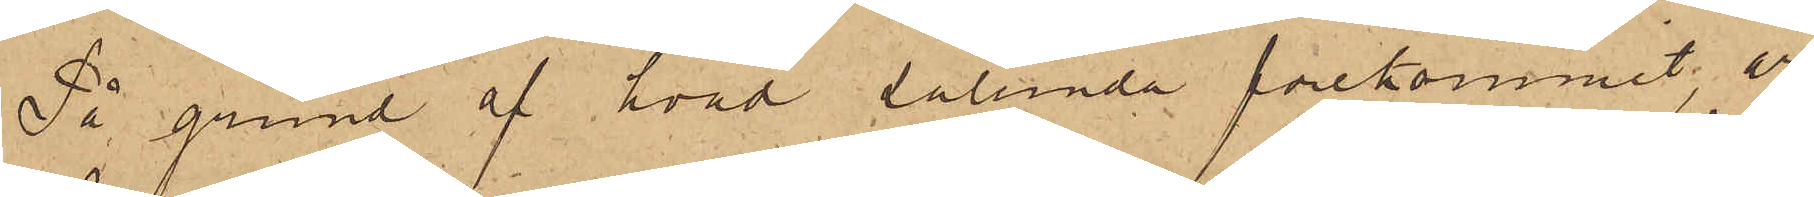På grund af hvad sålunda förekommit, är
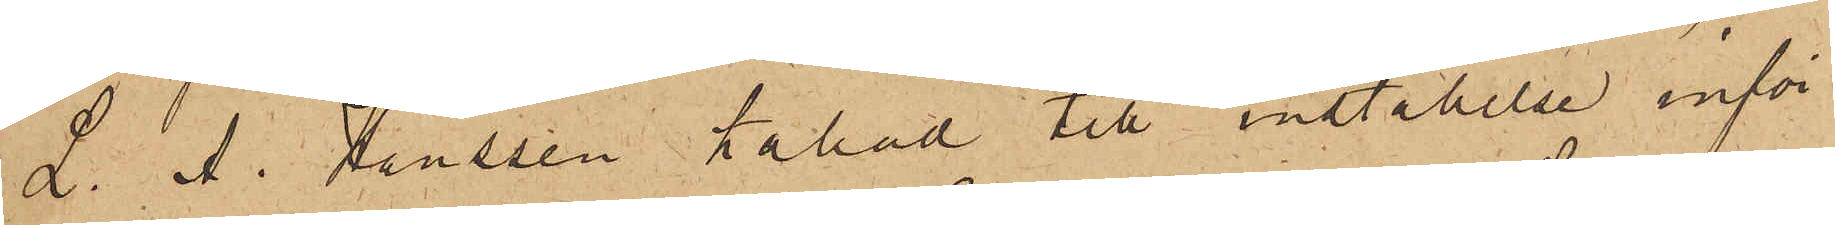L. A. Hanssen kallad till inställelse inför
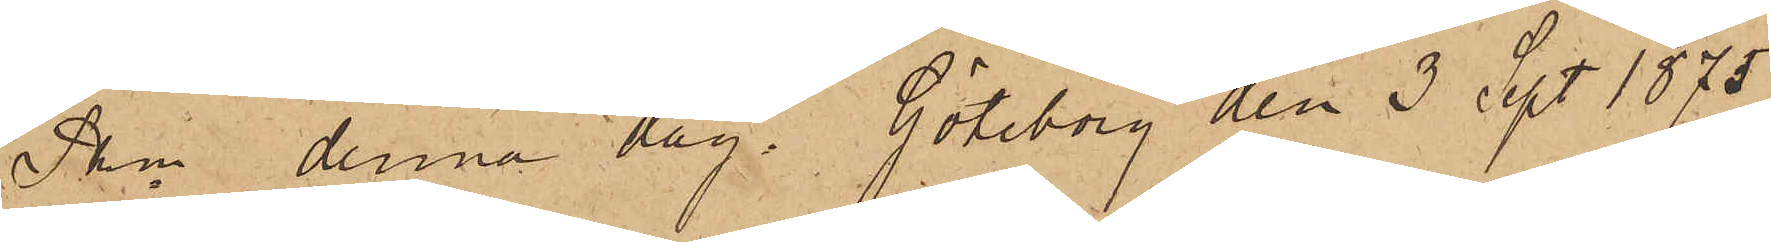Pkn denna dag. Göteborg den 3 Sept. 1875
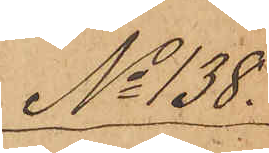No 138.
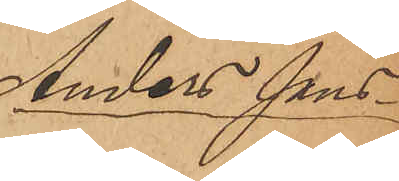Anders Jans¬
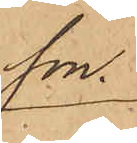son.
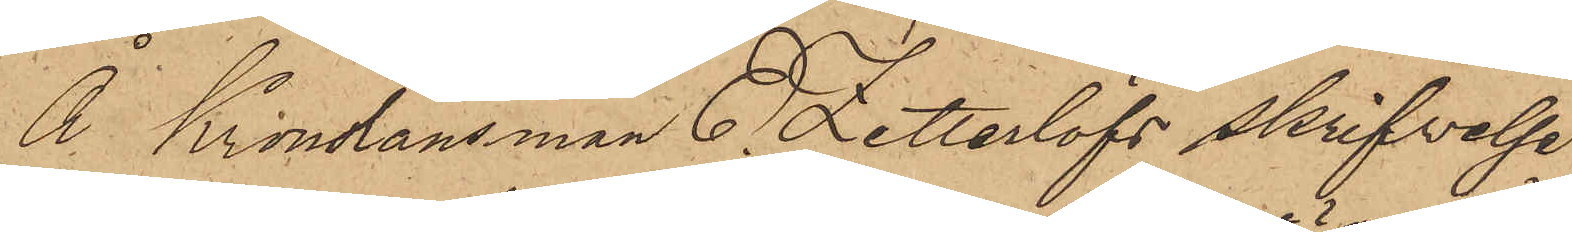Å Kronolänsman E. Zetterlöfs skrifvelse
